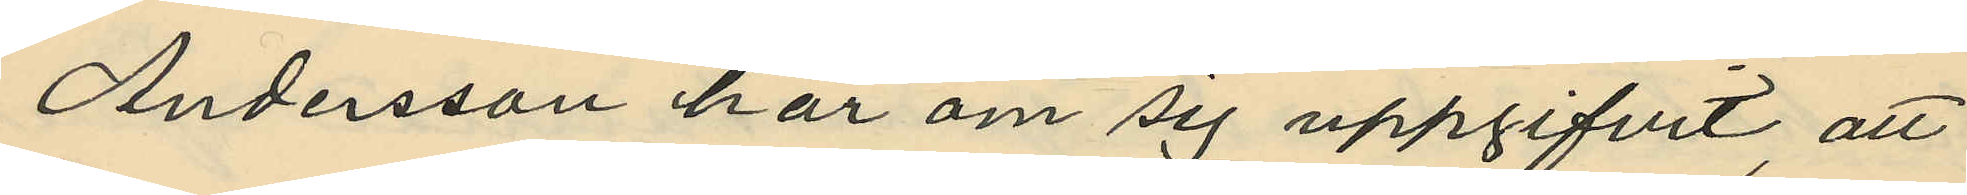Andersson har om sig uppgifvit, att
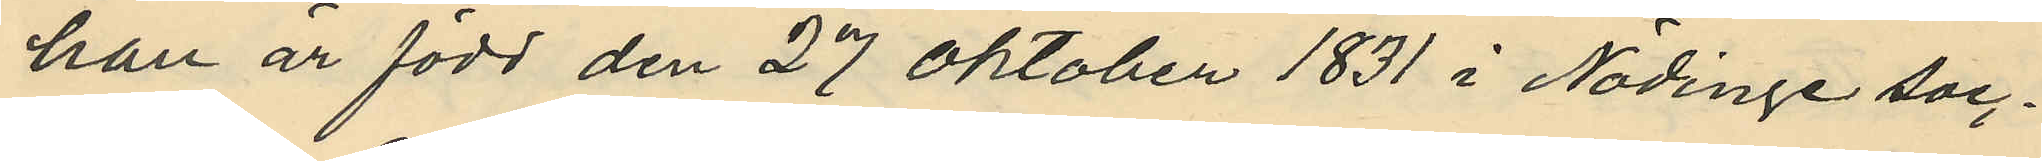han är född den 27 Oktober 1831 i Nödinge soc¬
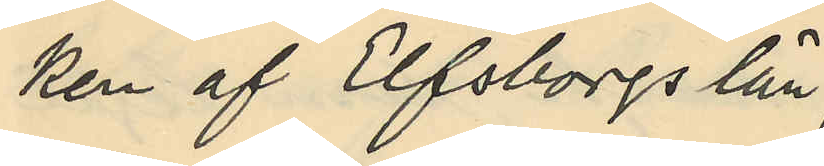ken af Elfsborgs län
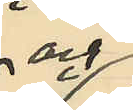och
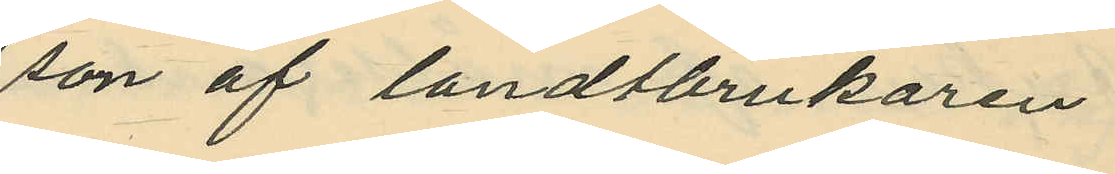son af landtbrukaren
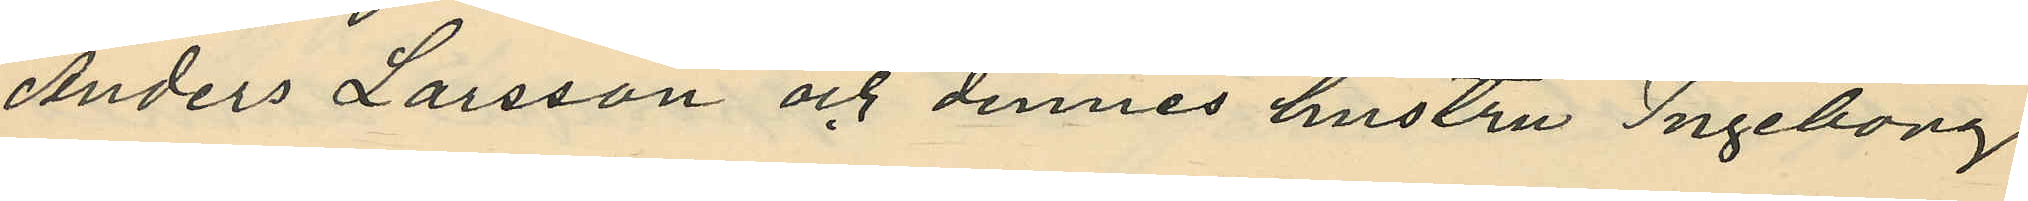Anders Larsson och dennes hustru Ingebong
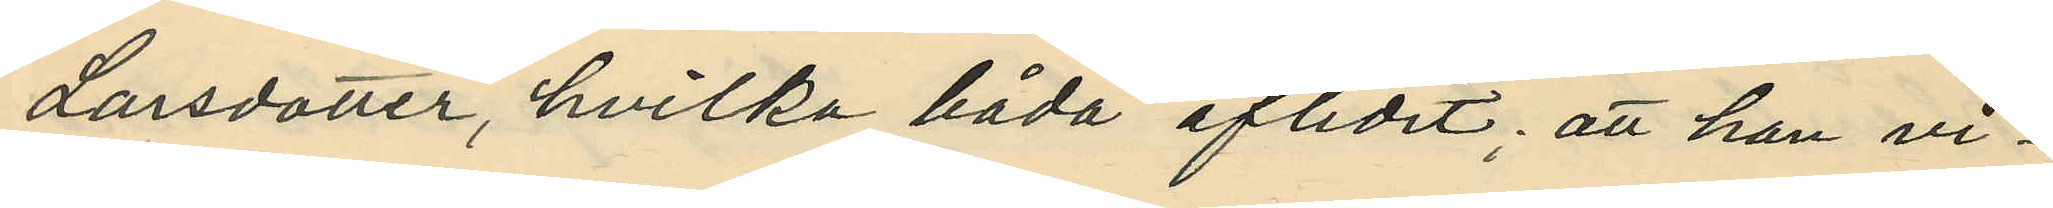Larsdotter, hvilka båda aflidit; att han vi¬
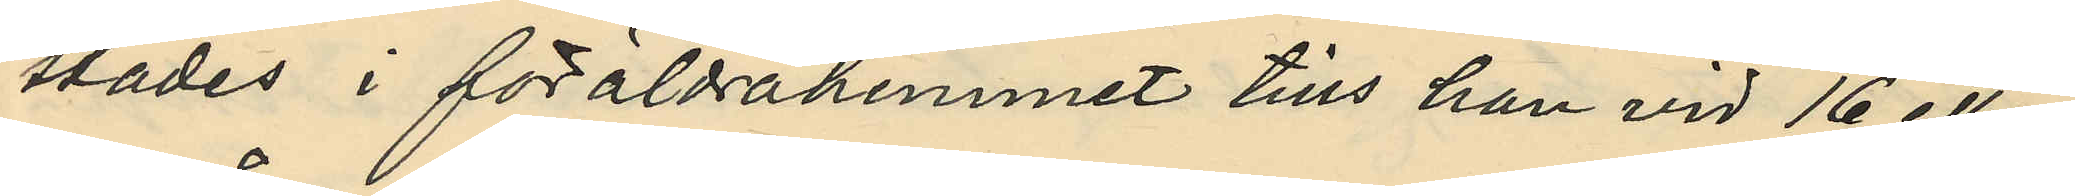stades i föräldrahemmet tills han vid 16 eller
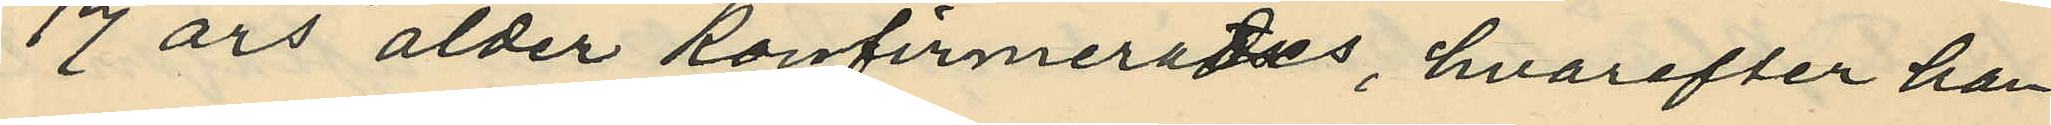17 års ålder konfirmerades, hvarefter han
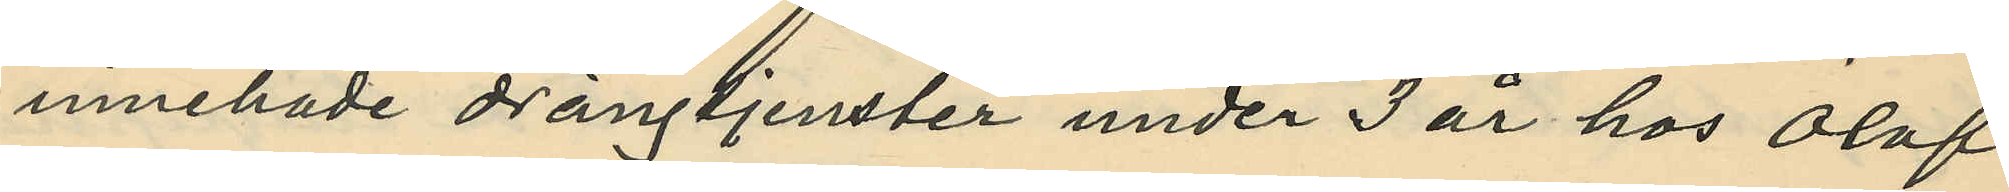innehade drängtjenster under 3 år hos Olof
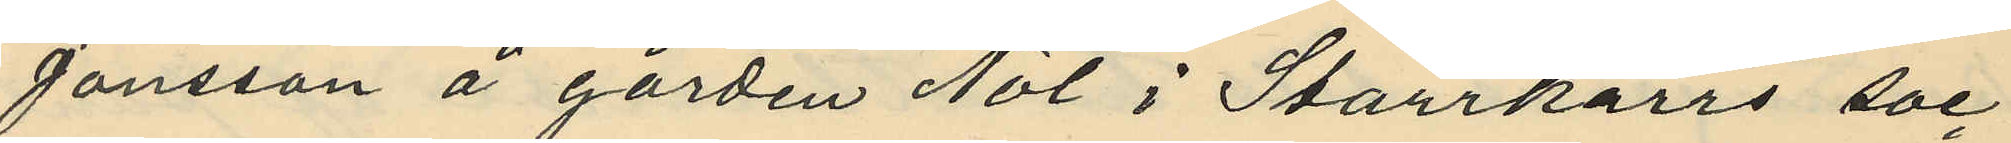Jonsson å gården Nol i Starrkärrs soc¬
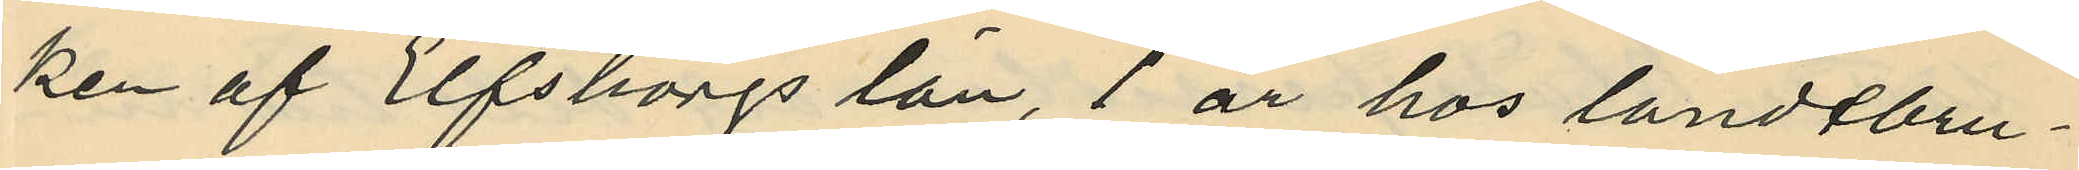ken af Elfsborgs län, 1 år hos landtbru¬
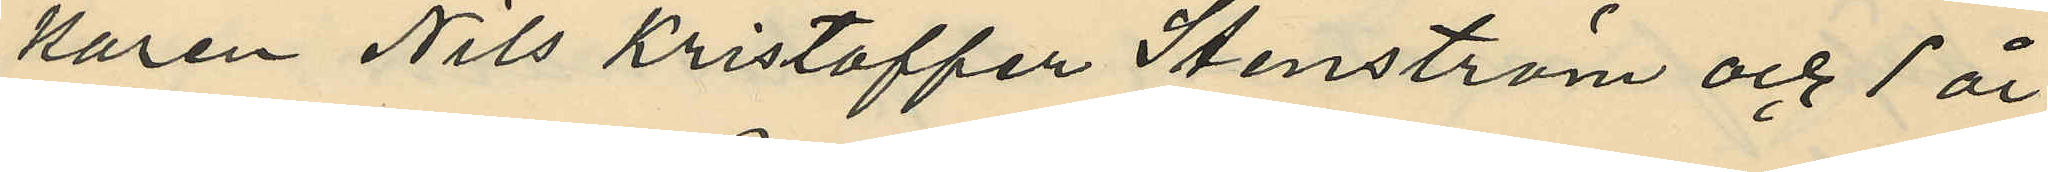karen Nils Kristoffer Stenström och 1 år
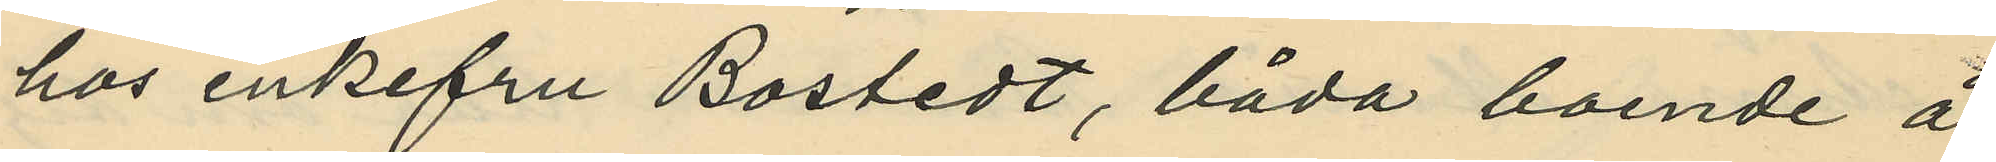hos enkefru Bostedt, båda boende å
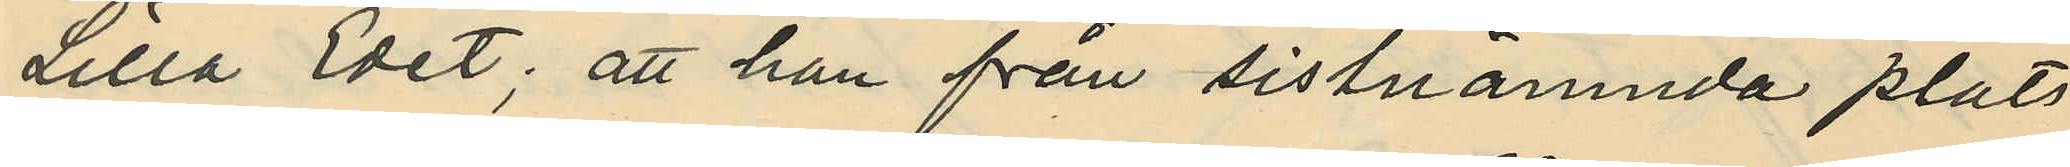Lilla Edet; att han från sistnämnda plats
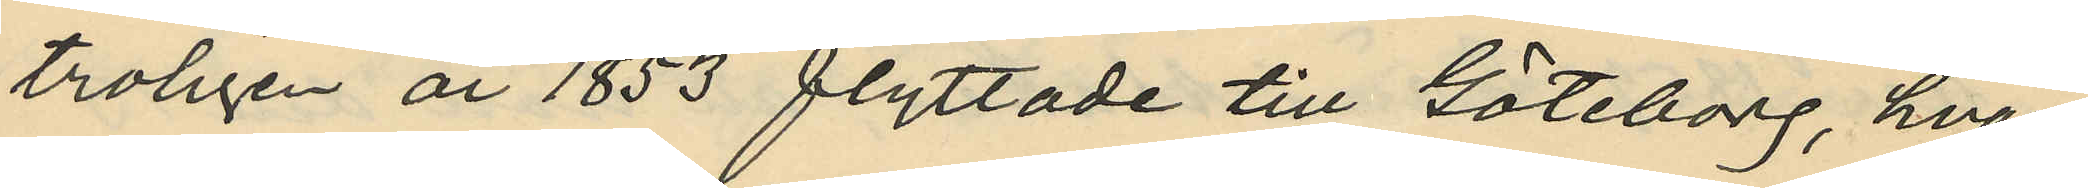troligen år 1853 flyttade till Göteborg, hvar¬
